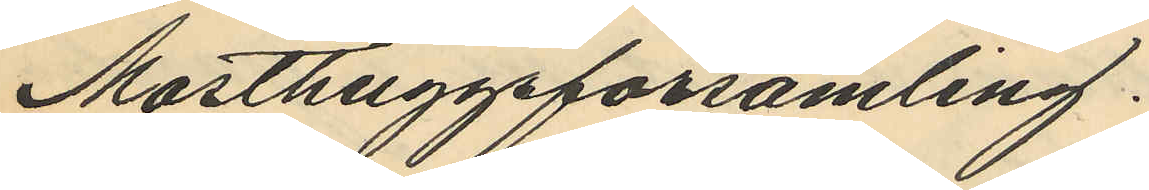Masthuggsförsamling.
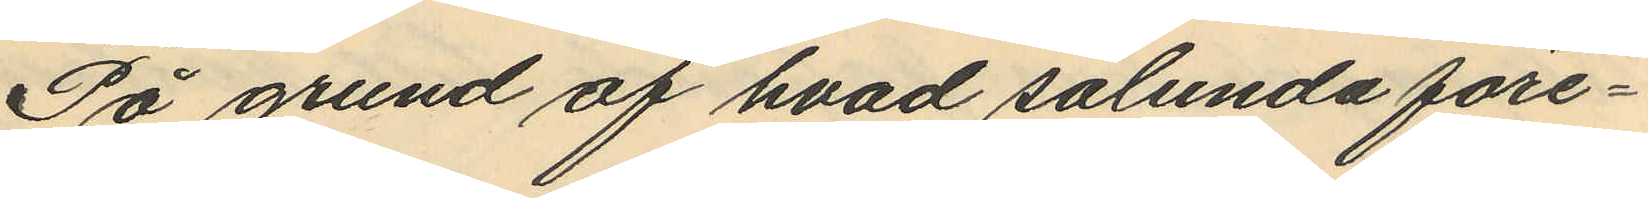På grund af hvad sålunda före¬
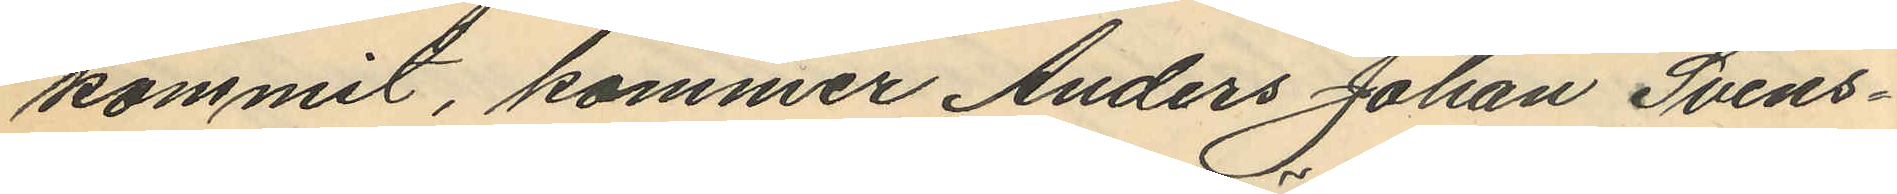kommit, kommer Anders Johan Svens¬
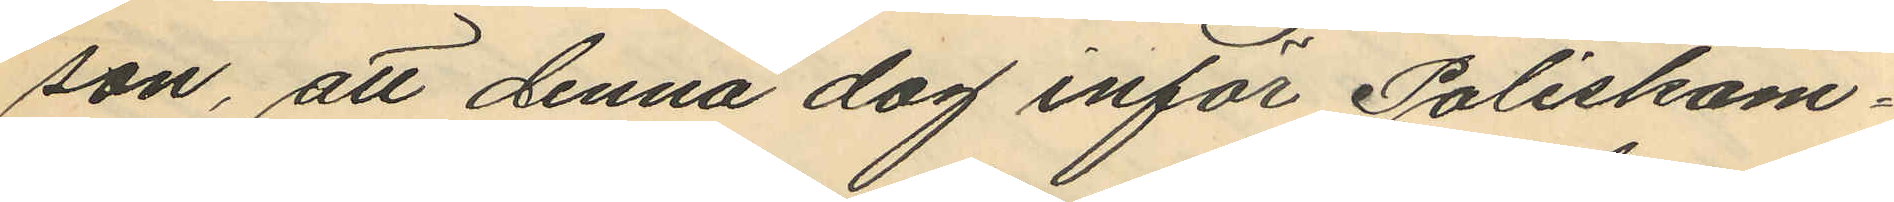son, att denna dag inför Poliskam¬
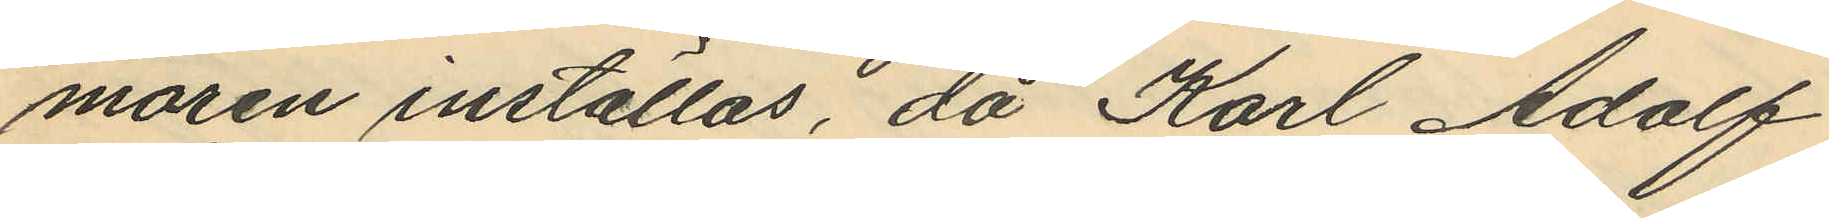maren inställas, då Karl Adolf
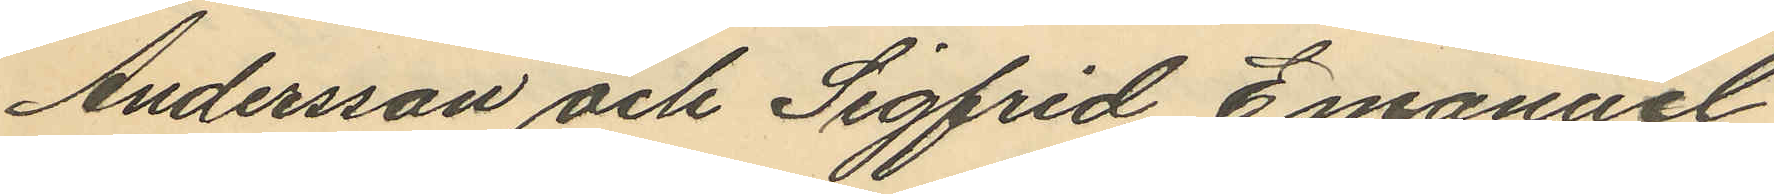Andersson och Sigfrid Emanuel
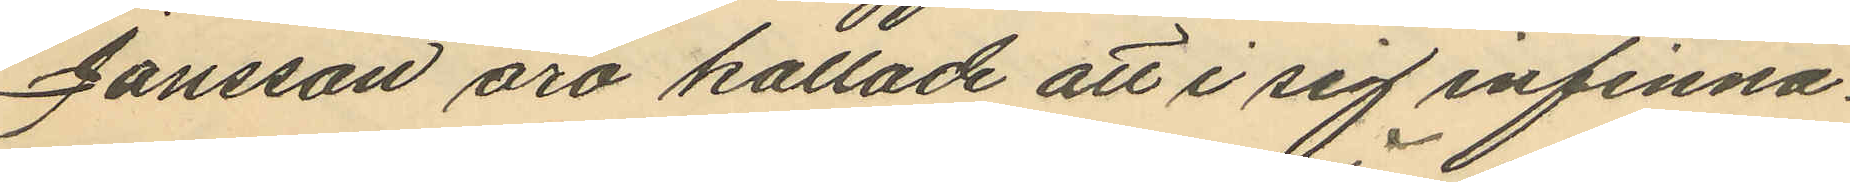Jansson äro kallade att i sig infinna.
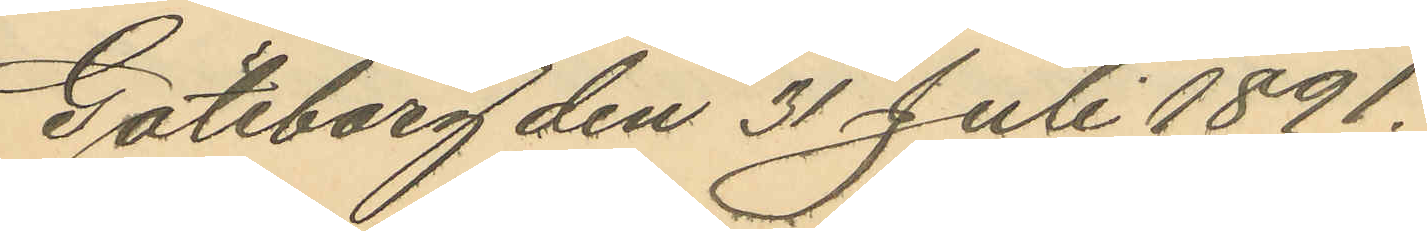Göteborg den 31 Juli 1891.
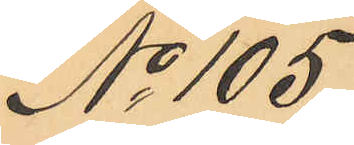No 105.
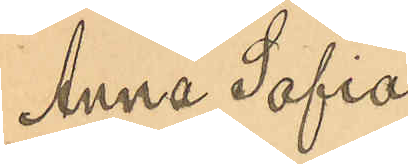Anna Sofia
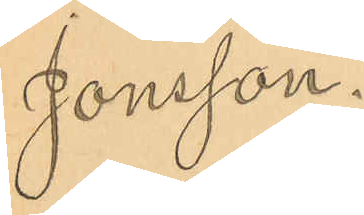Jonsson.
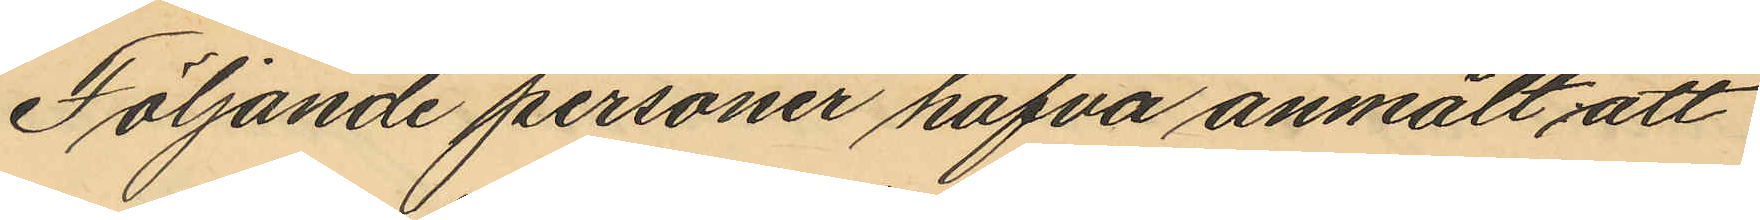Följande personer hafva anmält, att
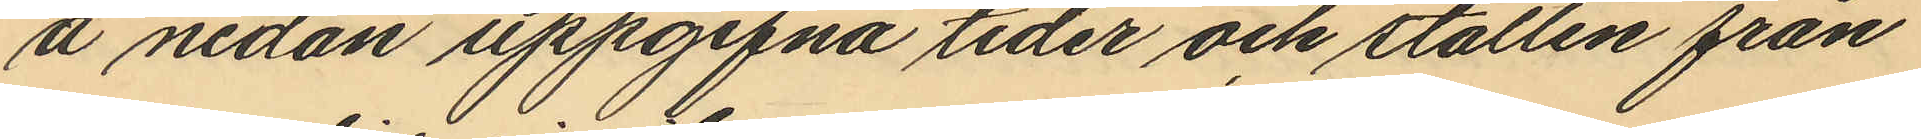å nedan uppgifna tider och ställen från
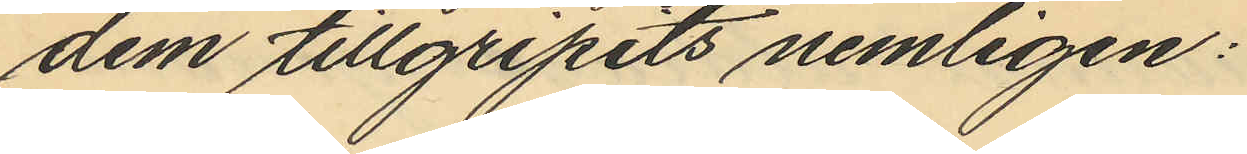dem tillgripits nemligen:
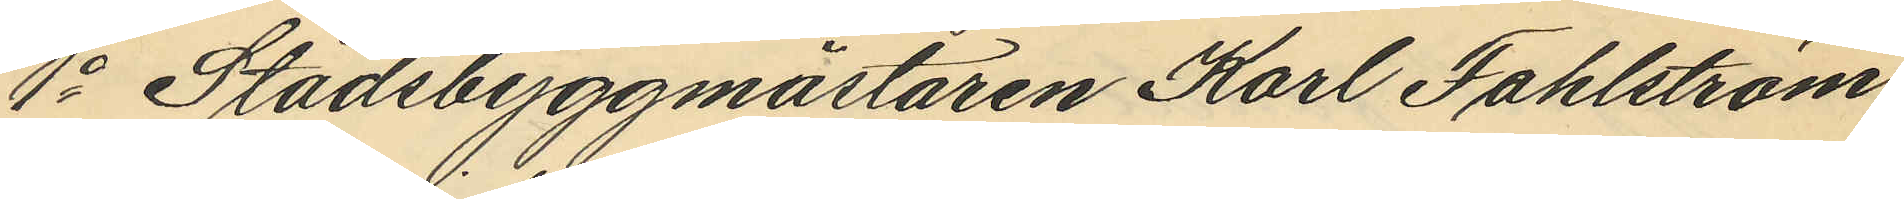1o Stadsbyggmästaren Karl Fahlström,
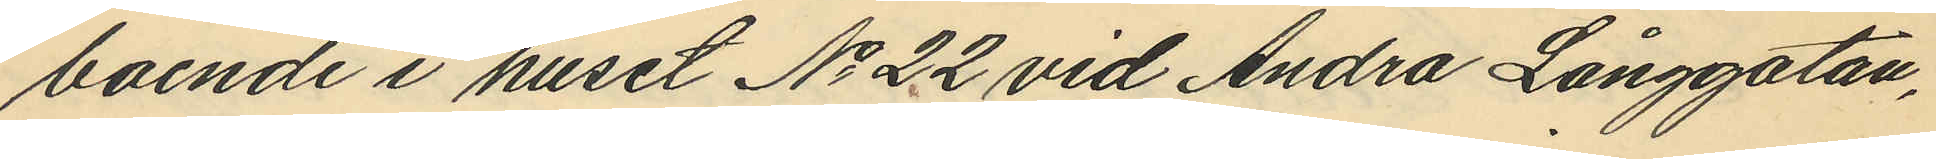boende i huset No 22 vid Andra Långgatan,
